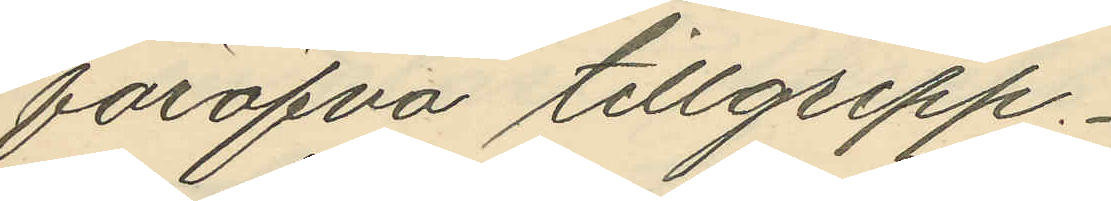föröfva tillgrepp,
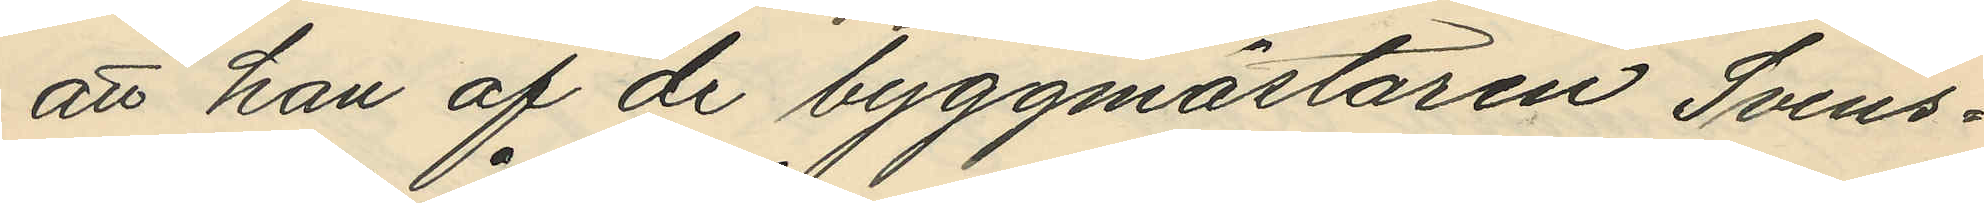att han af de byggmästaren Svens¬
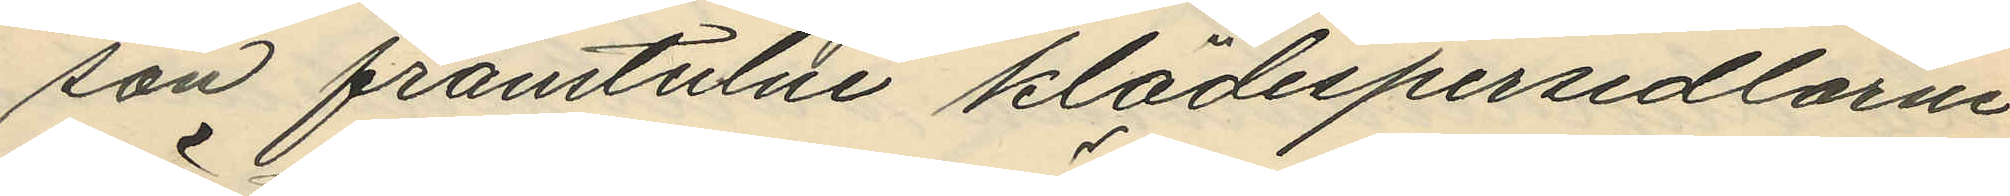son frånstulne klädespersedlarne
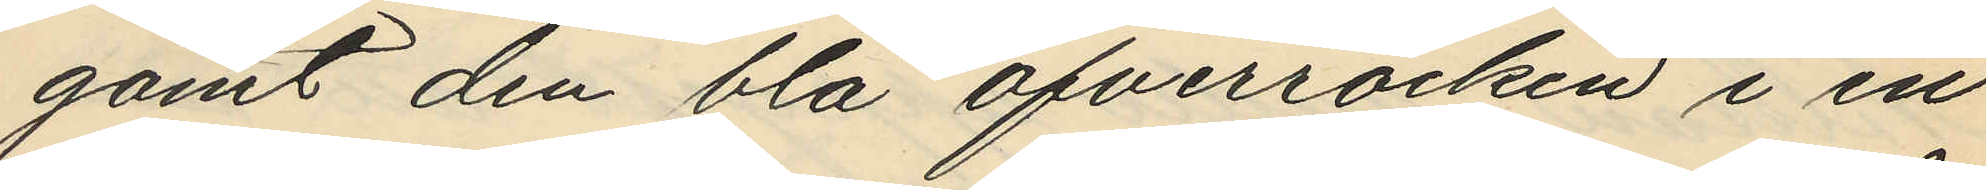gömt den blå öfverrocken i en
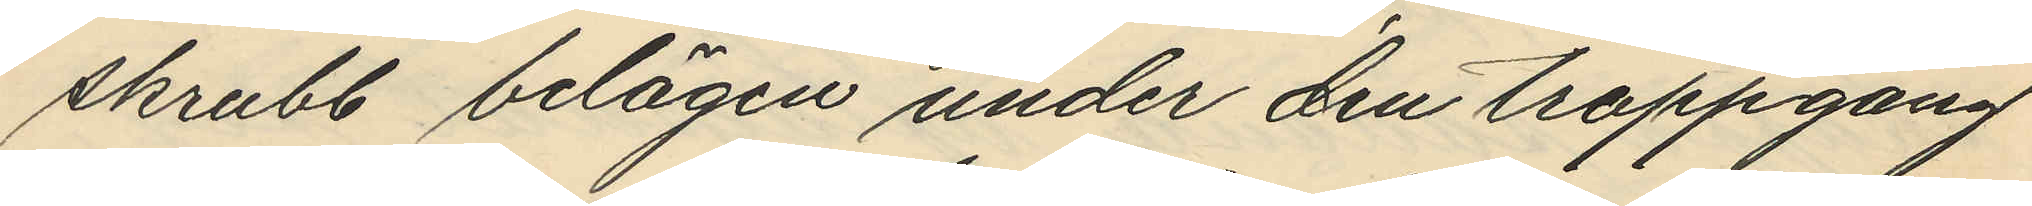skrubb belägen under den trappgång
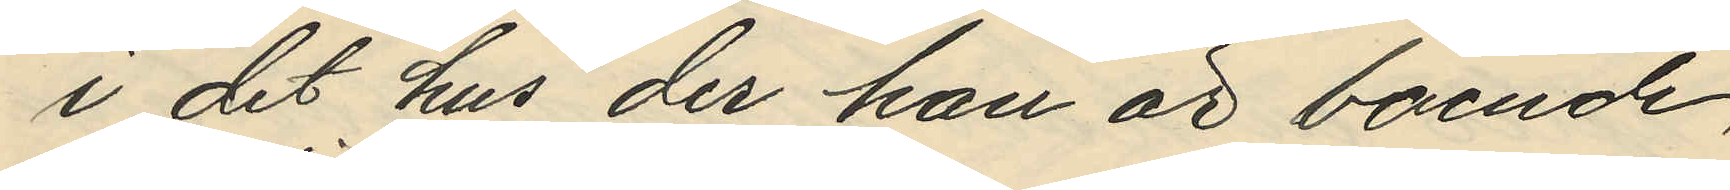i det hus der han är boende,
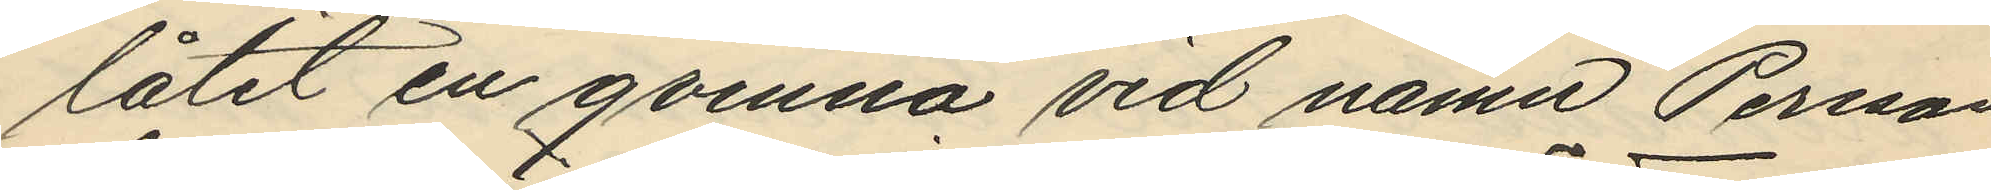låtit en qvinna vid namn Persson
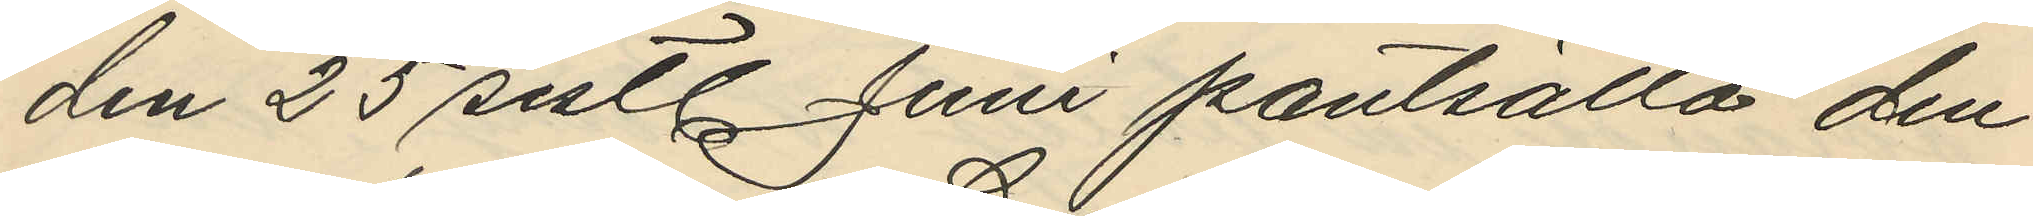den 25 sistl. Juni pantsätta den
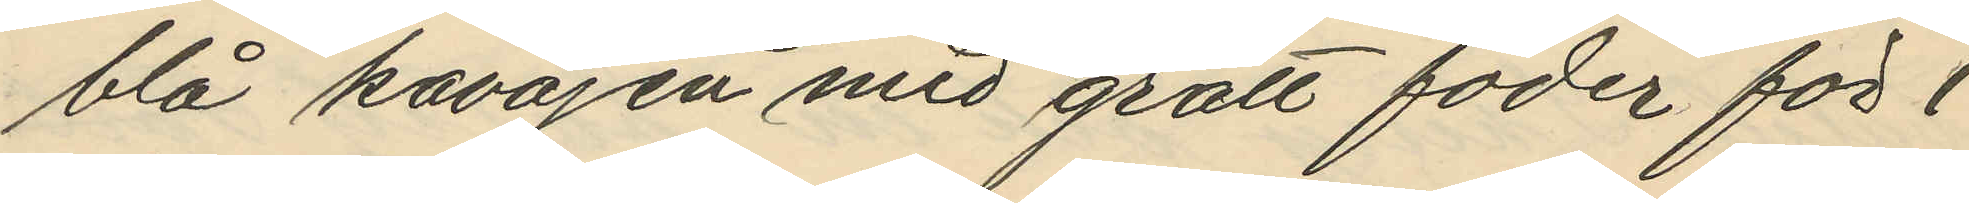blå kavajen med grått foder för 1
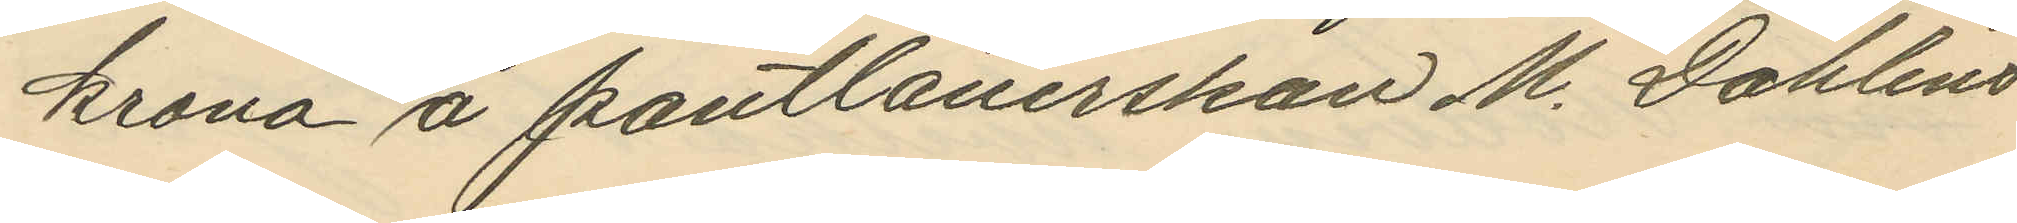krona å pantlanerskan M. Dahlins
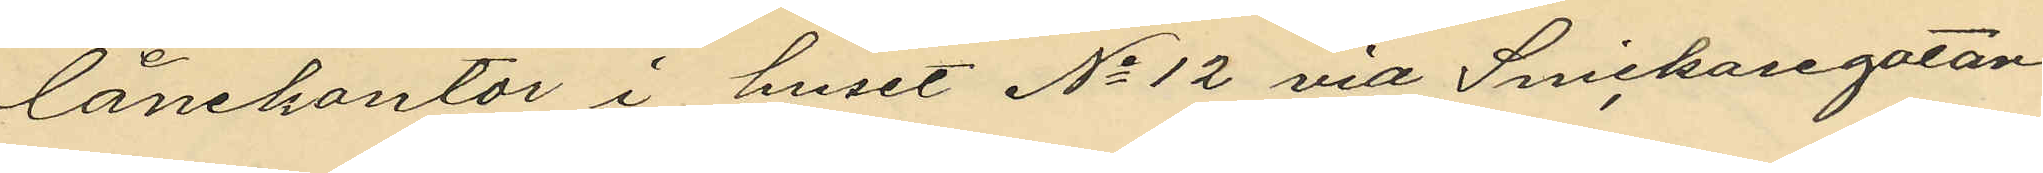lånekontor i huset No 12 vid Snickaregatan
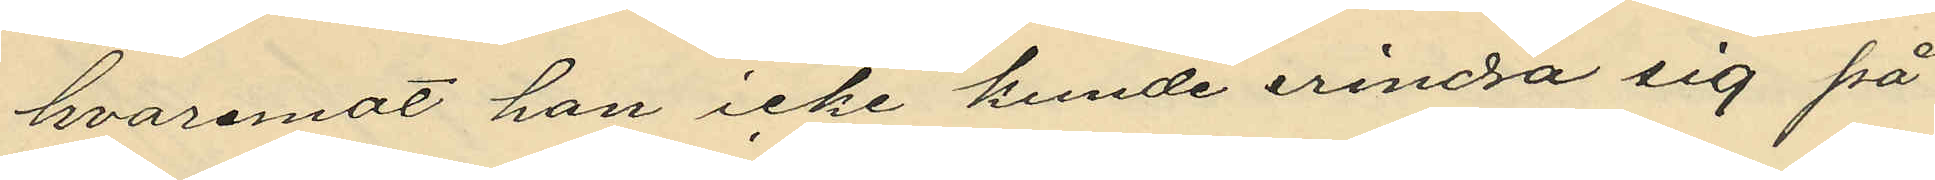hvaremot han icke kunde erindra sig på
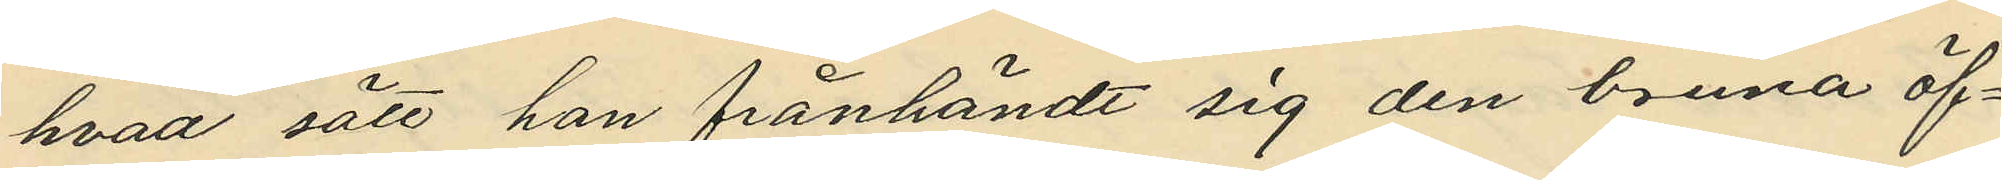hvad sätt han frånhändt sig den bruna öf¬
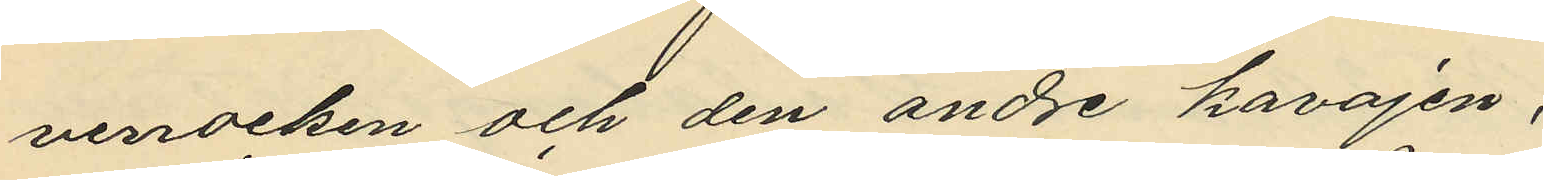verrocken och den andre kavajen,
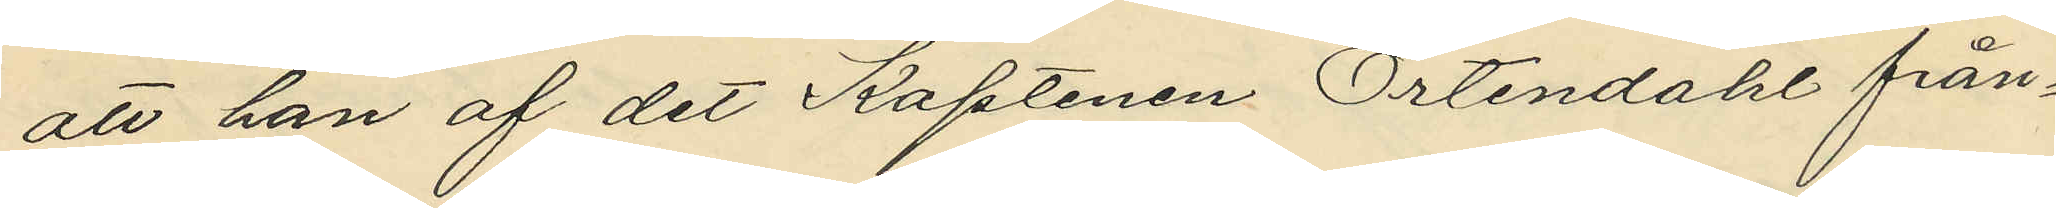att han af det Kaptenen Örtendahl från¬
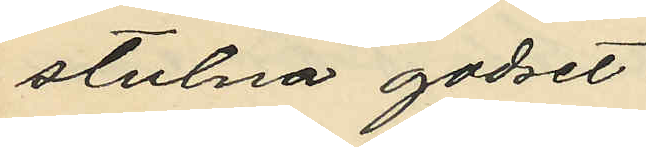stulna godset,
